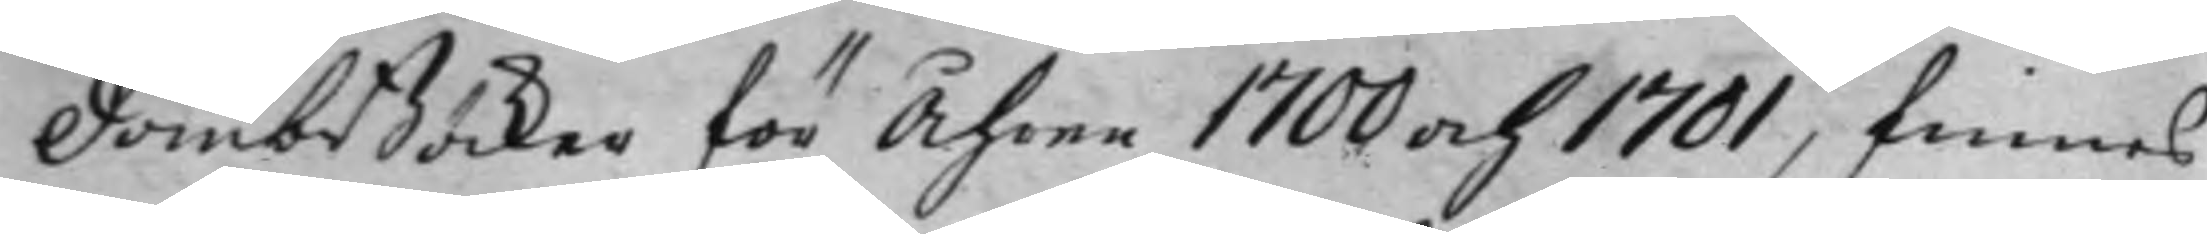DombBöcker för Åhren 1700 och 1701, finnes
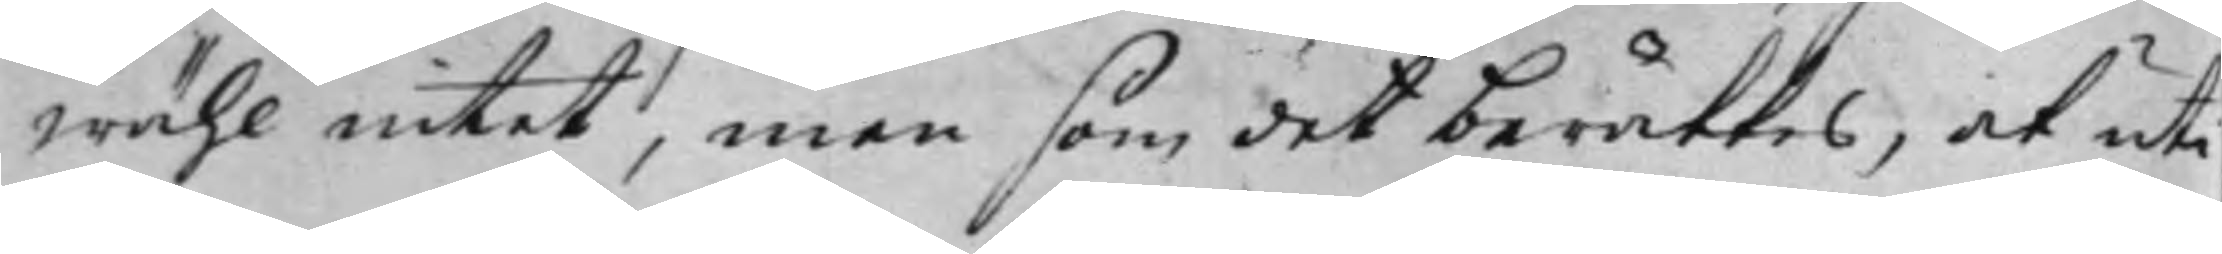wähl intet, men som det berättes, at uti
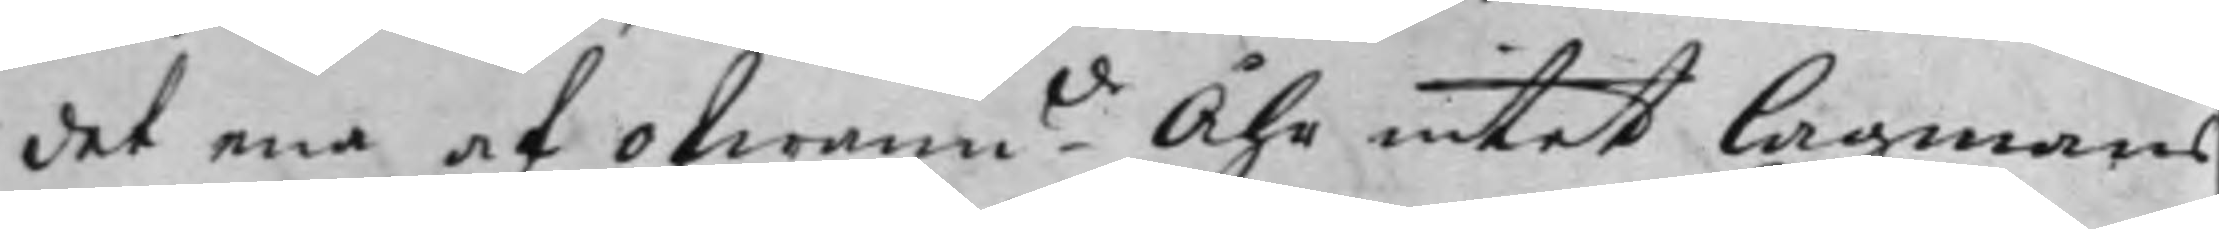det ena af ofwan.de Åhr intet Lagmans
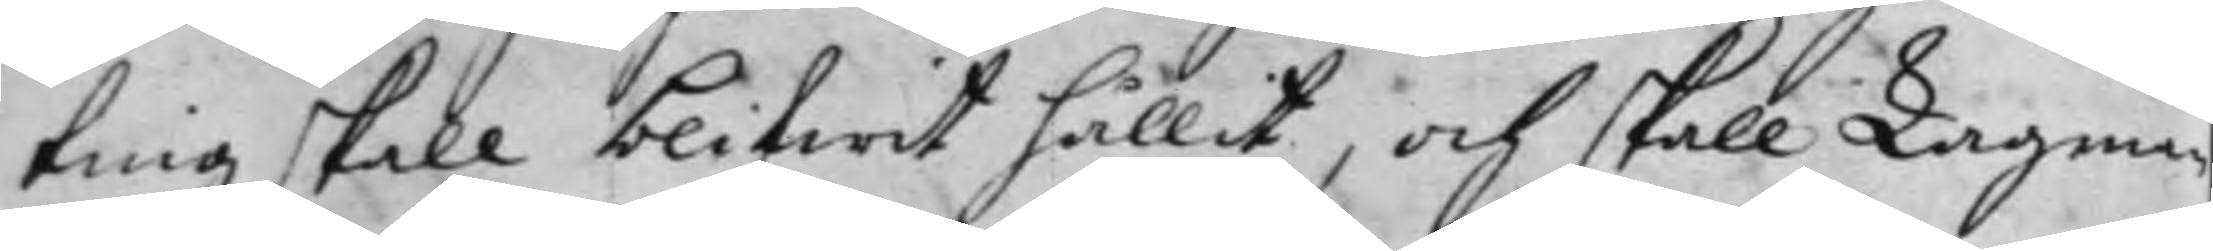ting skall blifwit hållit, och skall Lagman
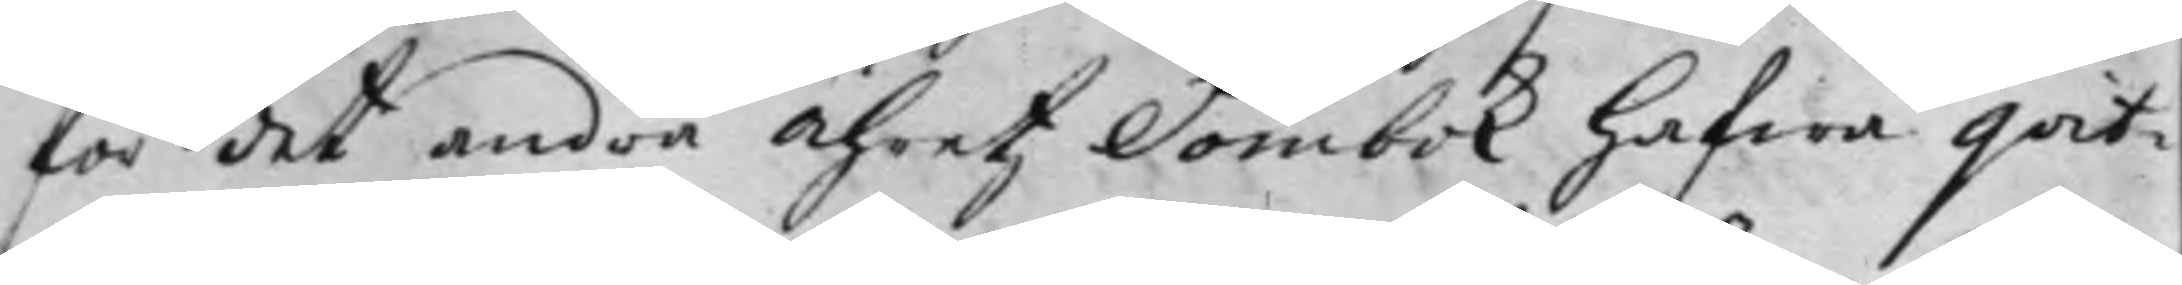för det andra Åhretz Dombok hafwa qvit¬
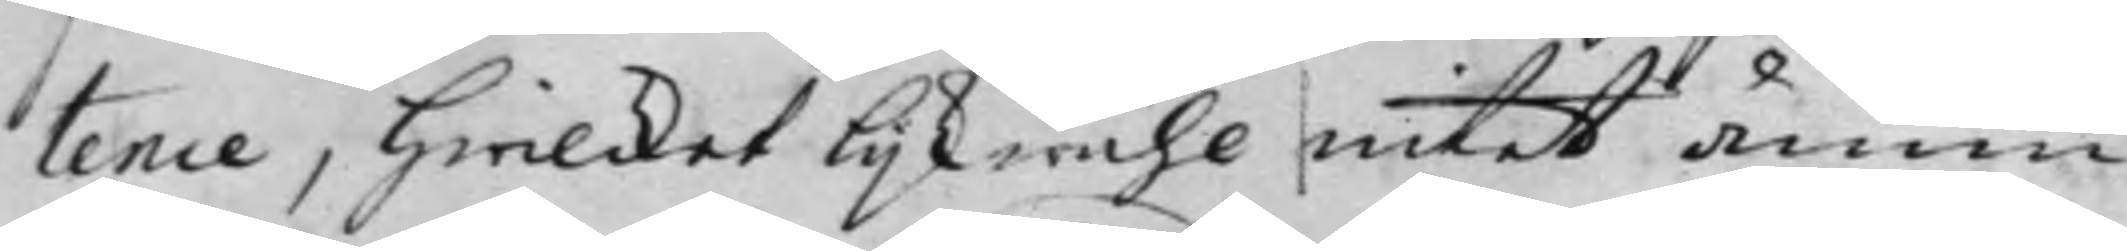tence, Hwilcket lijkwäjl intet ännu
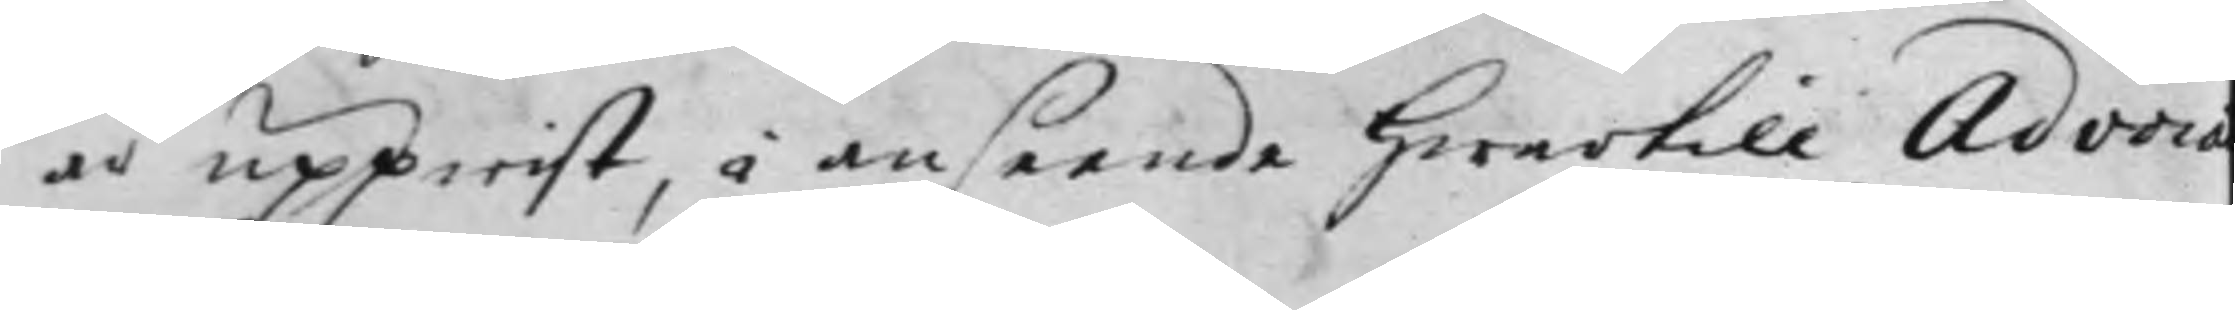är uppwist, i anseende hwartill Advoca
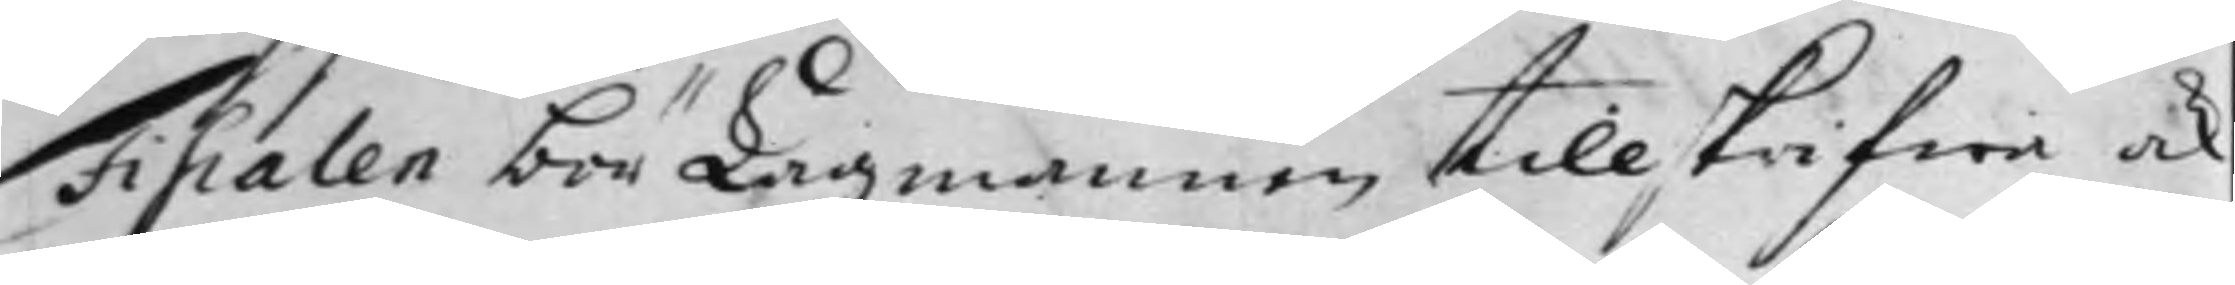Fiscalen bör Lagmannen tillskrifwa och
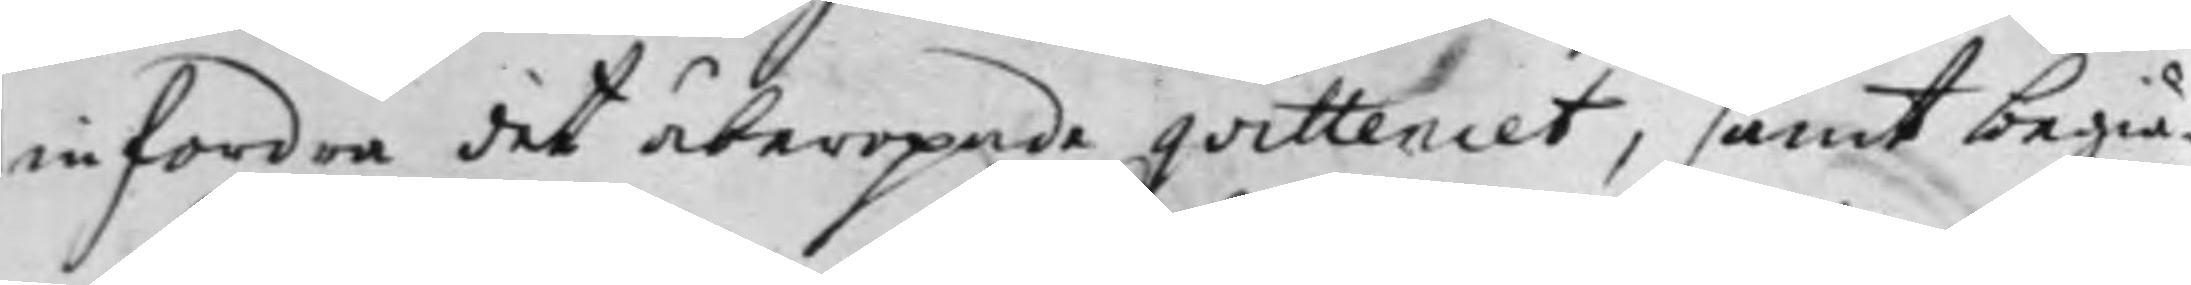infordra det åberopade qvittencet, samt begiä¬
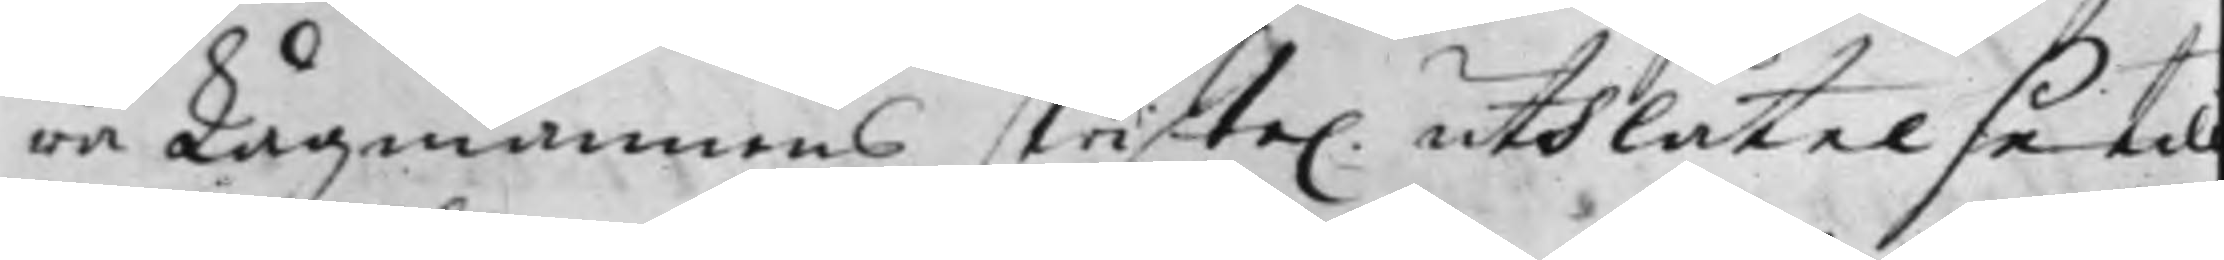ra Lagmannens skrifte. uthlåtelse til
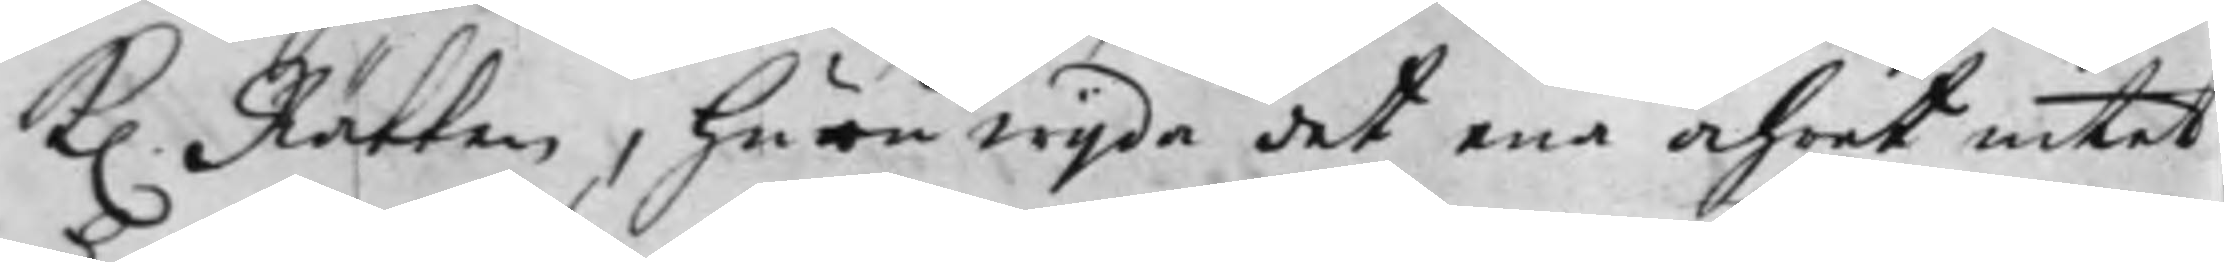K. Rätten, huruwijda det ena Åhret intet
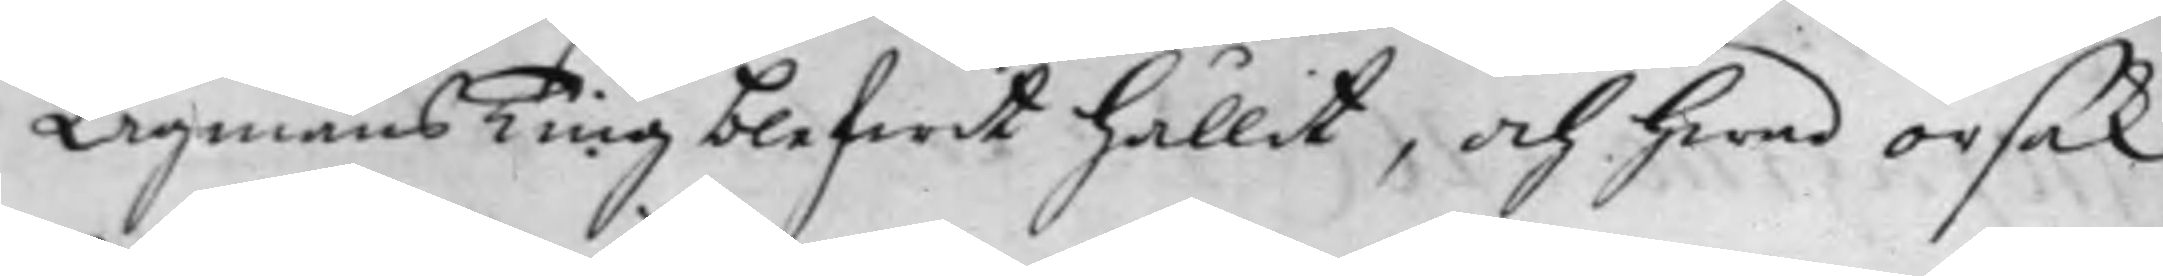Lagmans Ting blifwit hållit. och hwad orsak
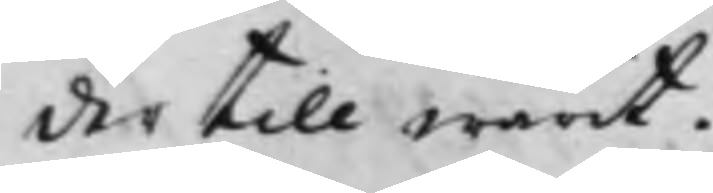der till warit.
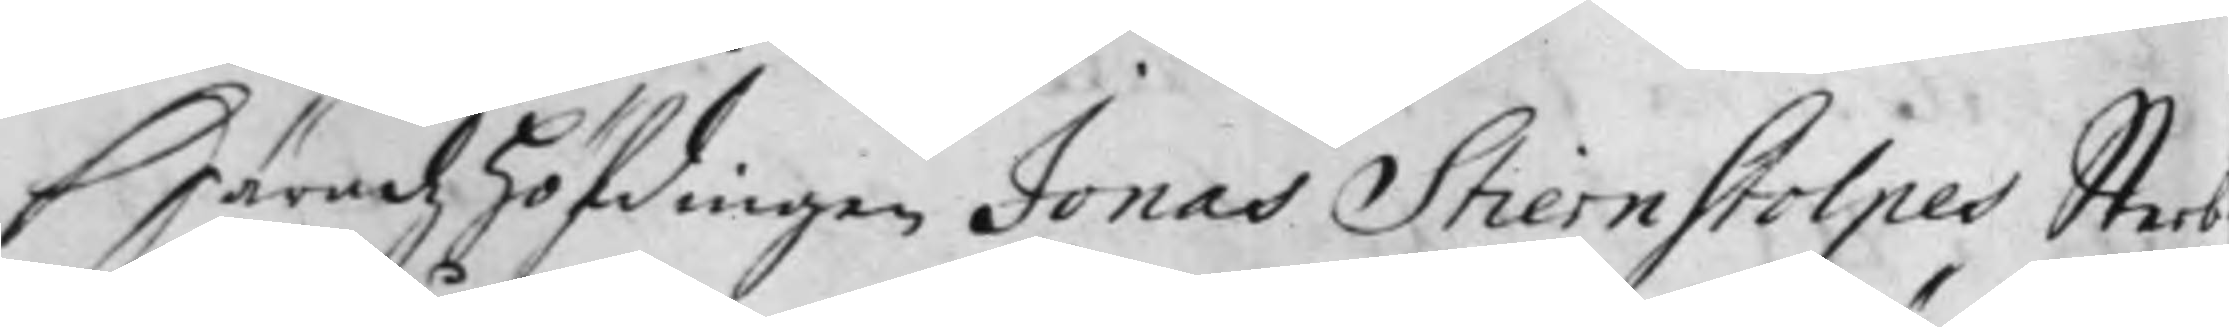Häradz höfdingen Jonas Stiernstolpes Sterb¬
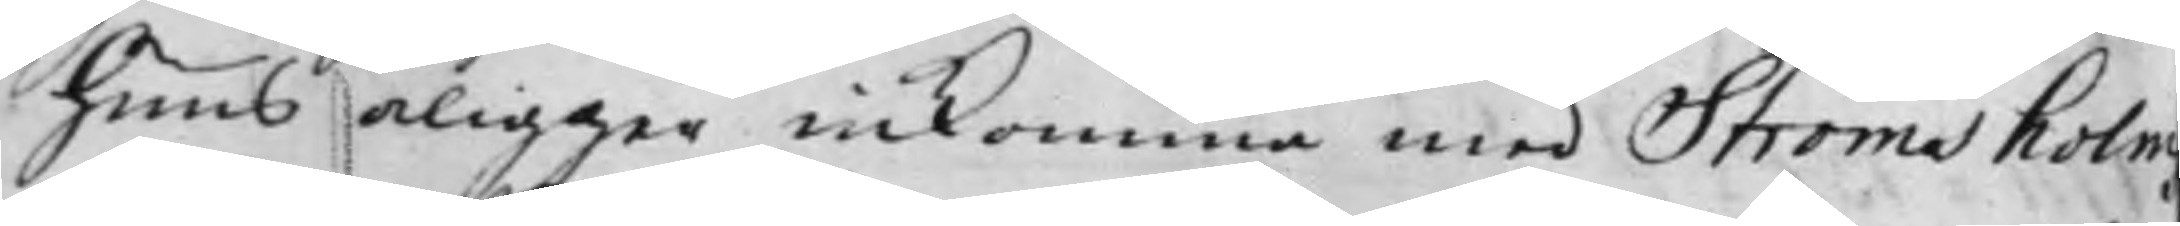huus åligger inkomma med Strömsholm
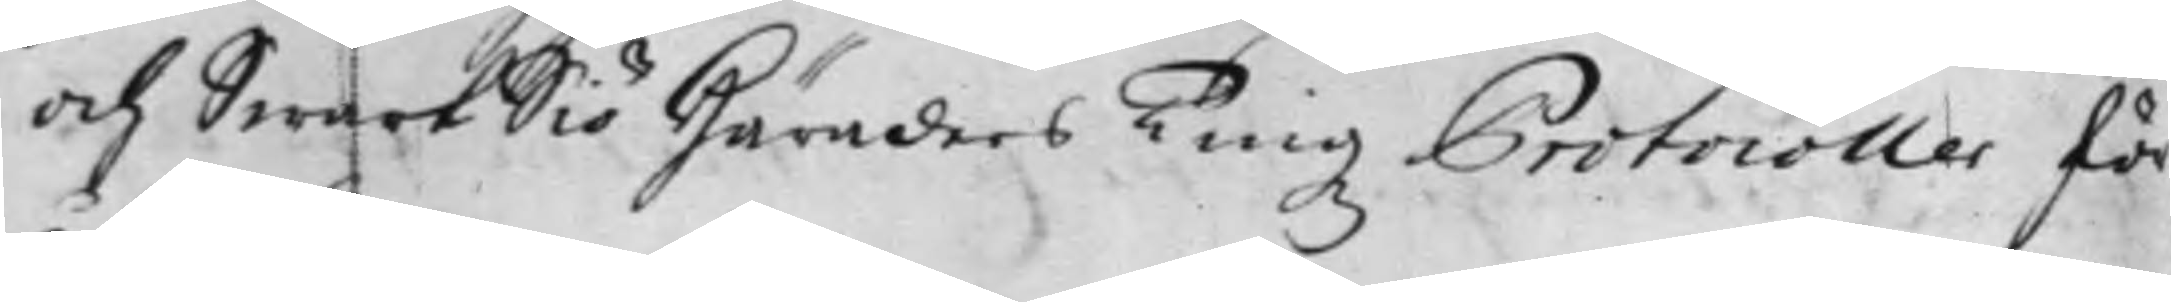och SwartSiö Häraders Tingz Protocoller för
